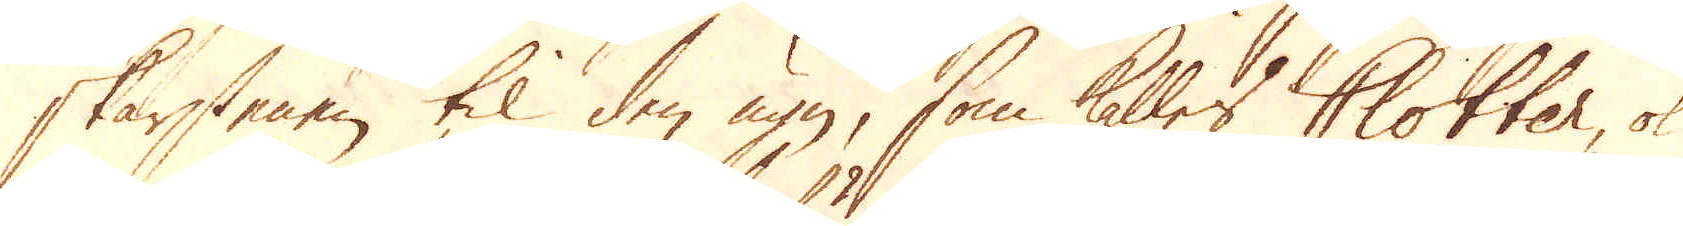skärstenen til den ugn, som kalles Clotter, ok
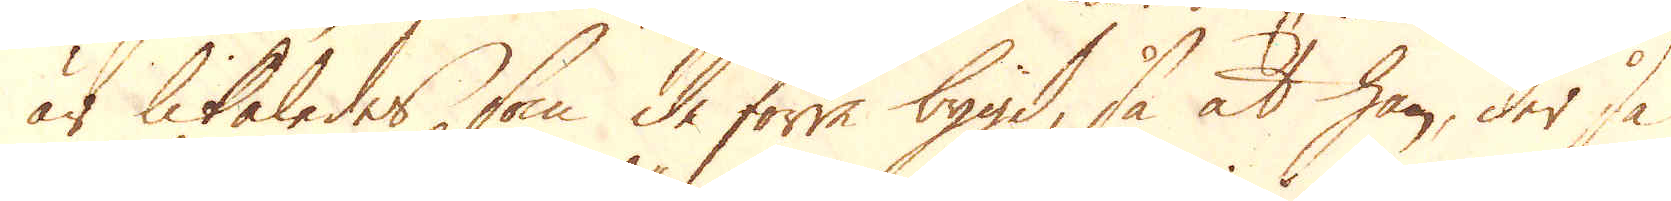är likaledes, som de förre, bygd så at han, der så
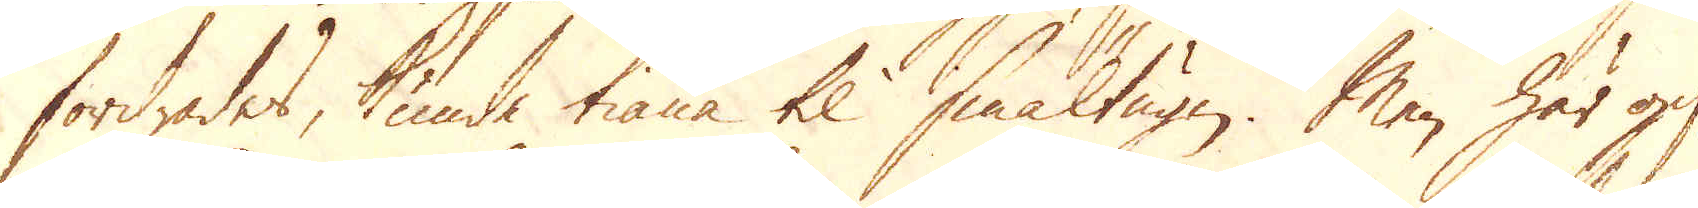fordrades, kunde tiäna til smältugn. Men här gif-
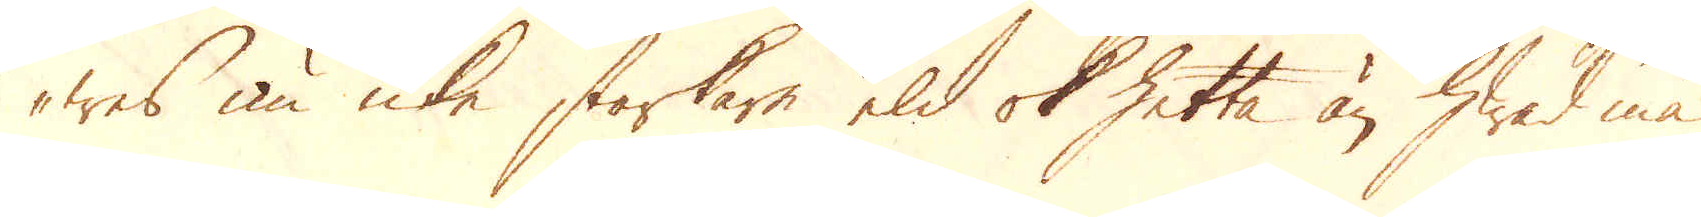wes nu icke starkare eld ok hetta än hwad må
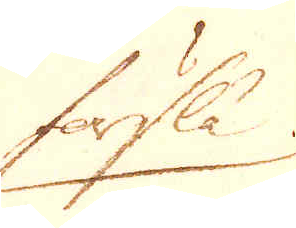förslå
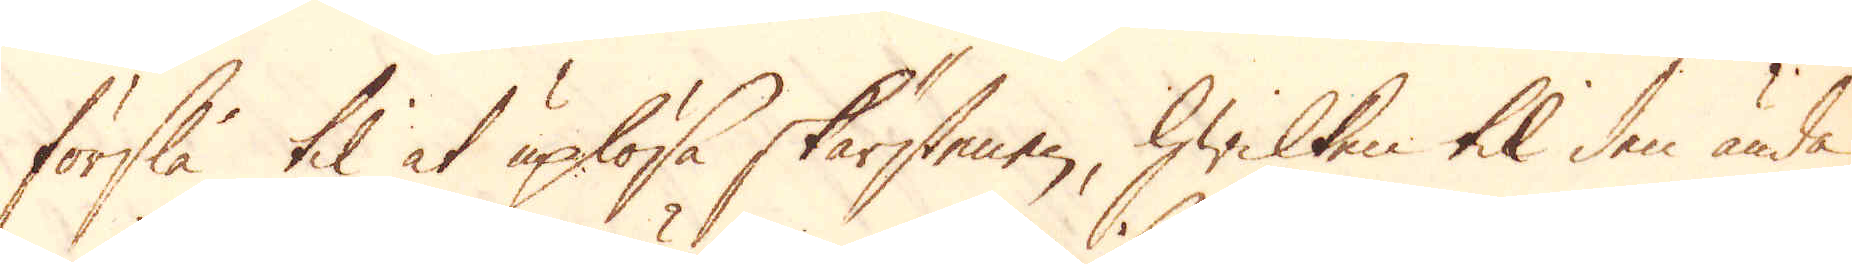förslå til at uplösa skärstenen, hwilken til den ända
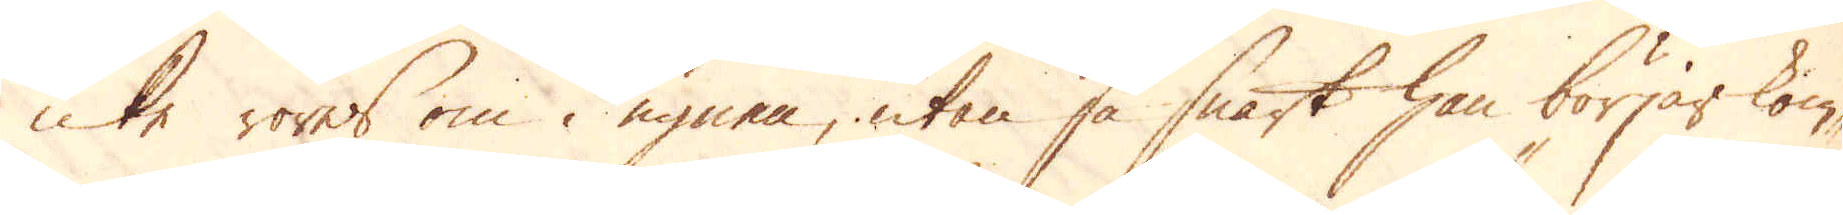icke röres om i ugnen, utan så snart han börjar kom-
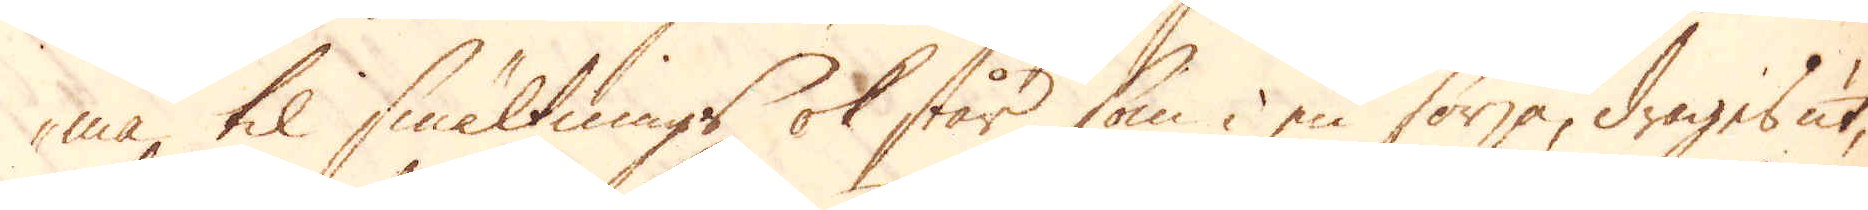ma til smältnings ok står, som i en förja, drages ut,
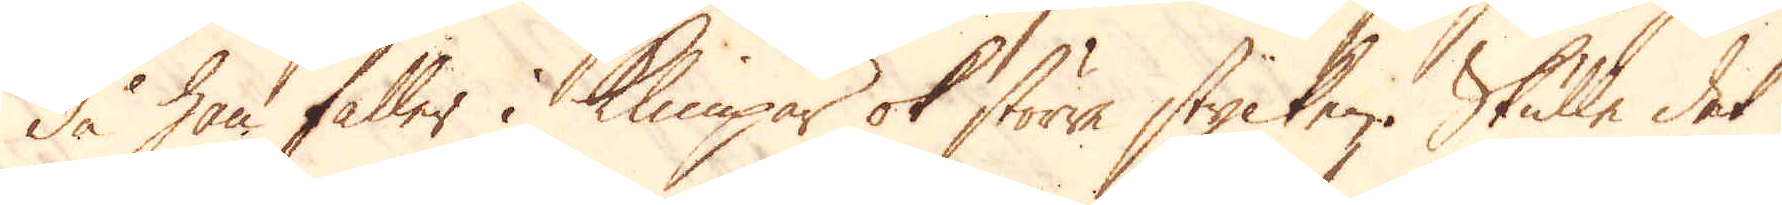då han faller i Klimpar ok större stycken. Skulle det
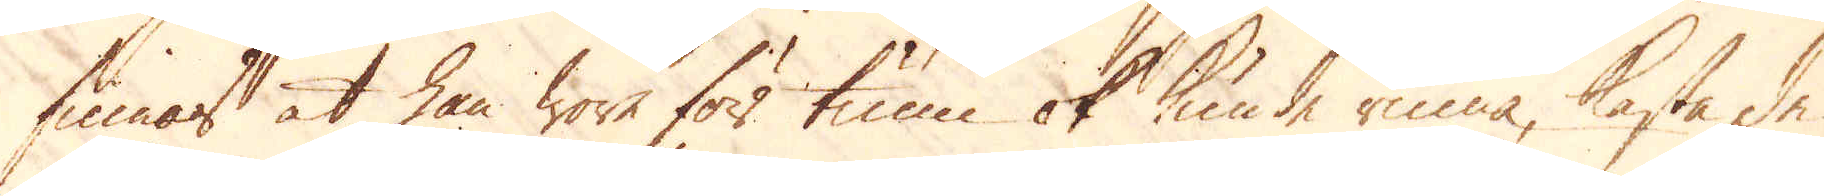finnas at han wore för tunn ok kunde rinna, kasta de
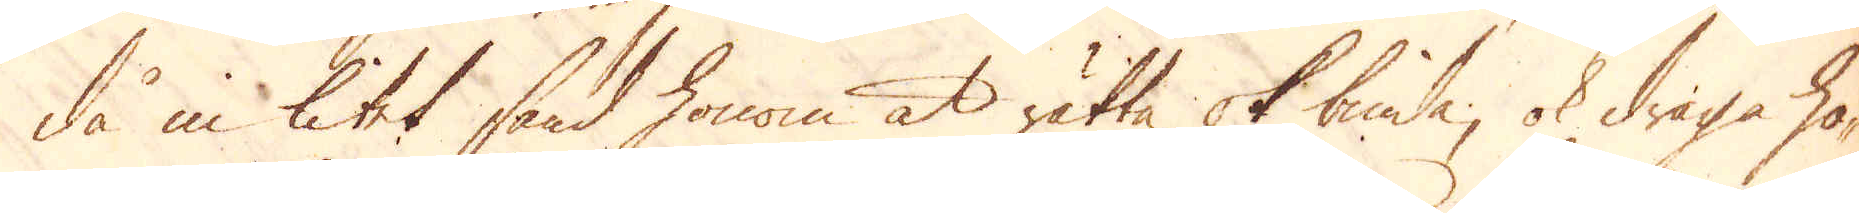då in litet sand honom at rätta ok binda, ok draga ho-
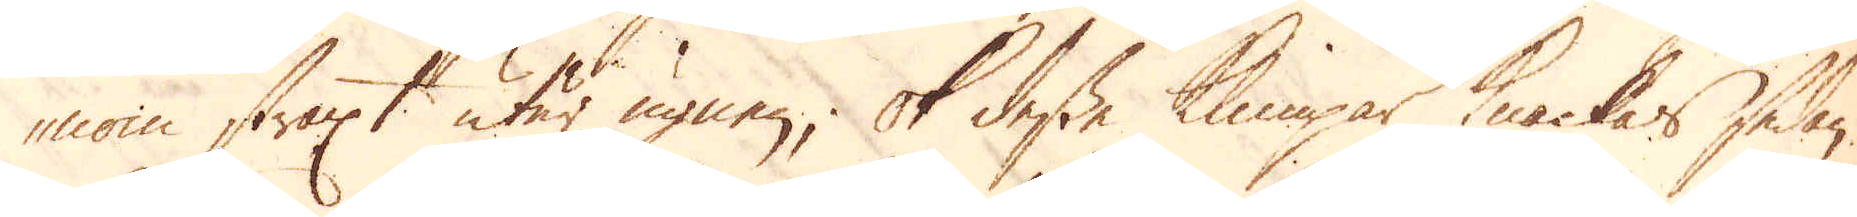nom straxt utur ugnen; ok desse klimpar knackar sedan
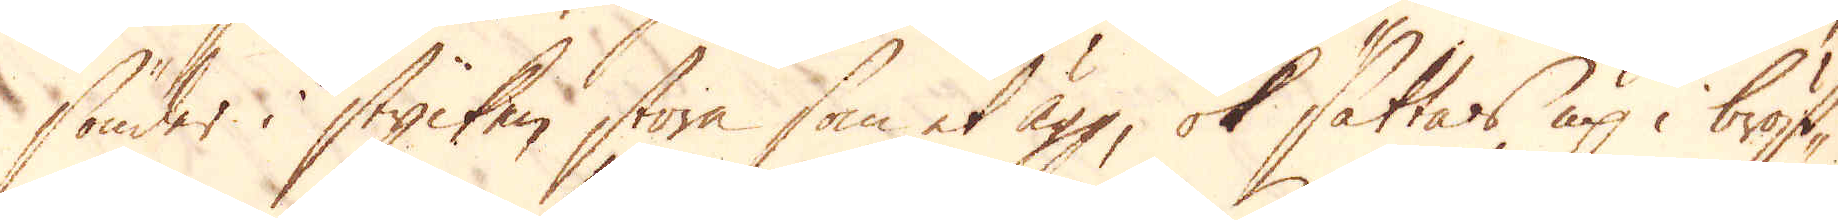sönder i stycken stora som et ägg, ok sättas up i bröst-
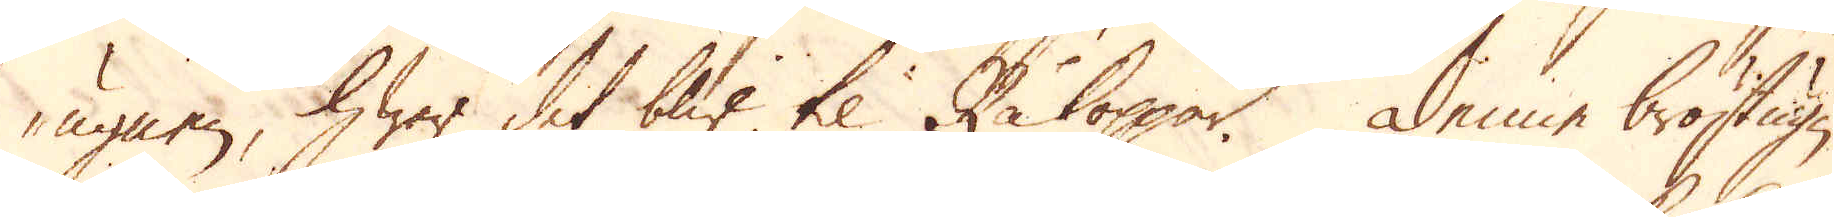ugnen, hwar det blir til Råkoppar. Denne bröstugn
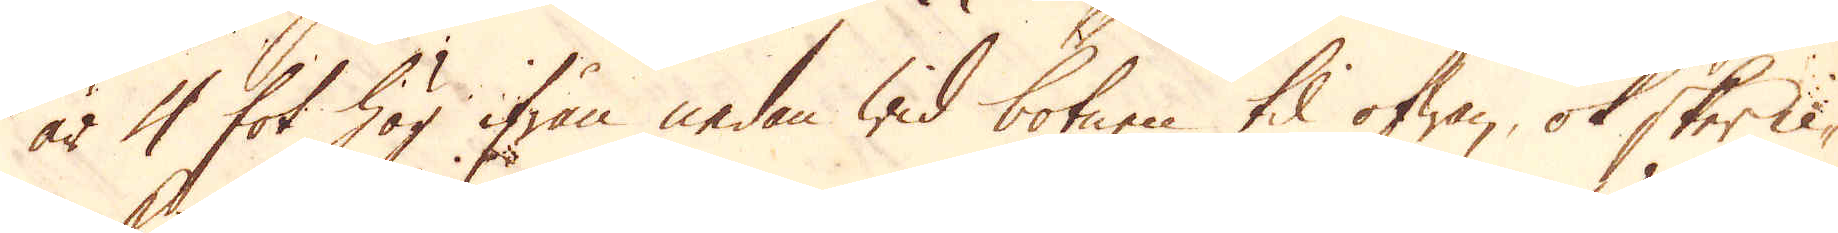är 4 fot hög ifrån nedan wid botnen til ofwan, ok sker li-
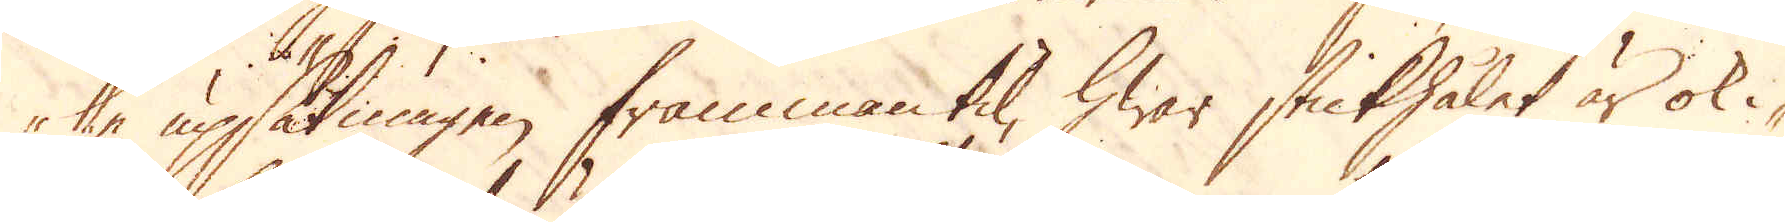ke upsätningen frammantil, hwar stickhålet är ok i-
